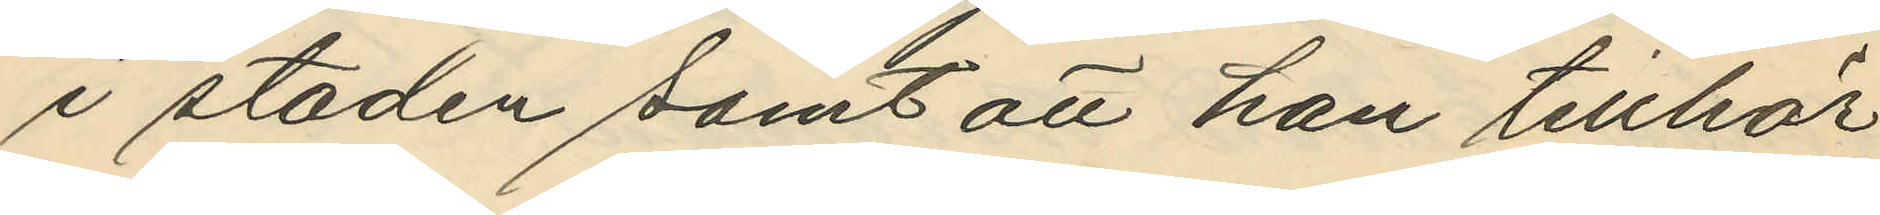i staden samt att han tillhör
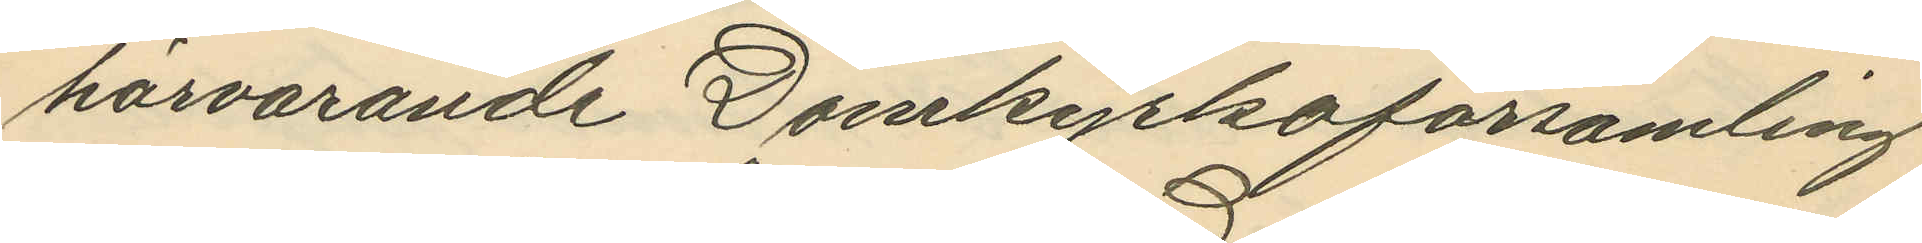härvarande Domkyrkoförsamling
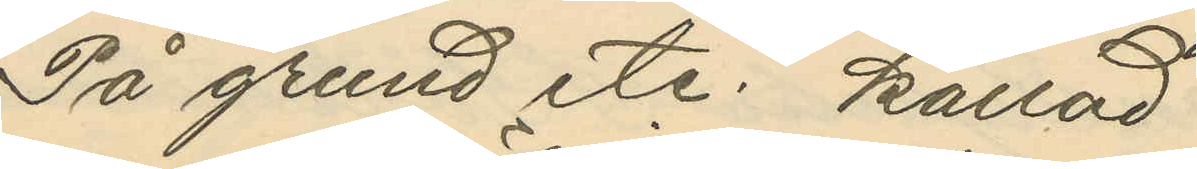På grund etc. kallad
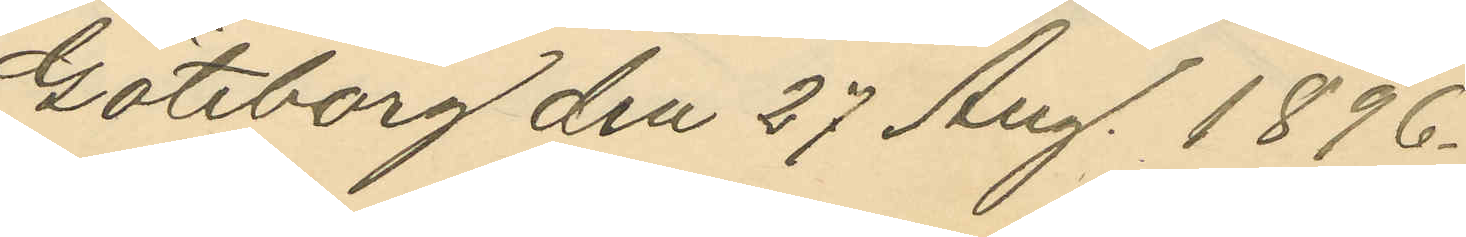Göteborg den 27 Aug. 1896.
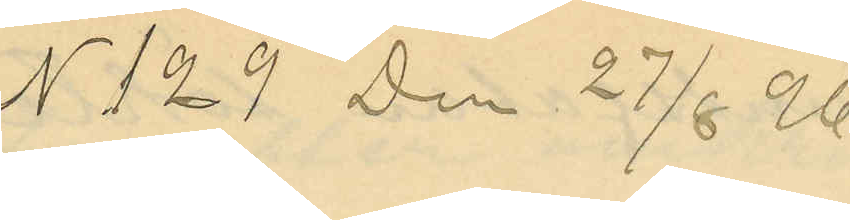N 129  Den 27/8 96
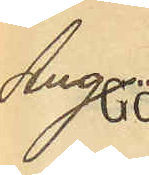Ang
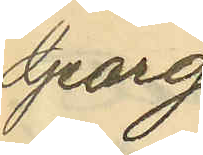Georg
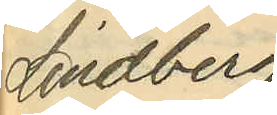Lindberg
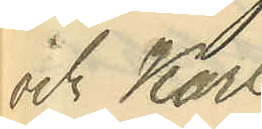och Karl
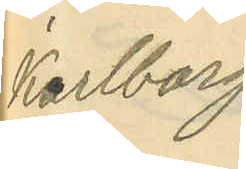Karlborg.
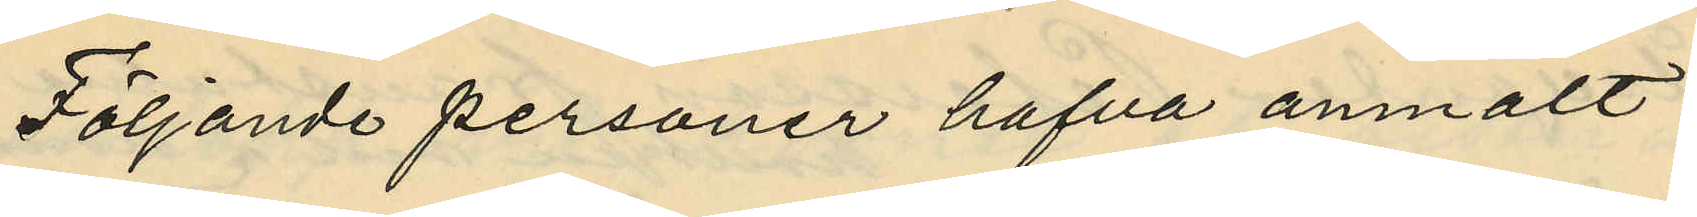Följande personer hafva anmält:
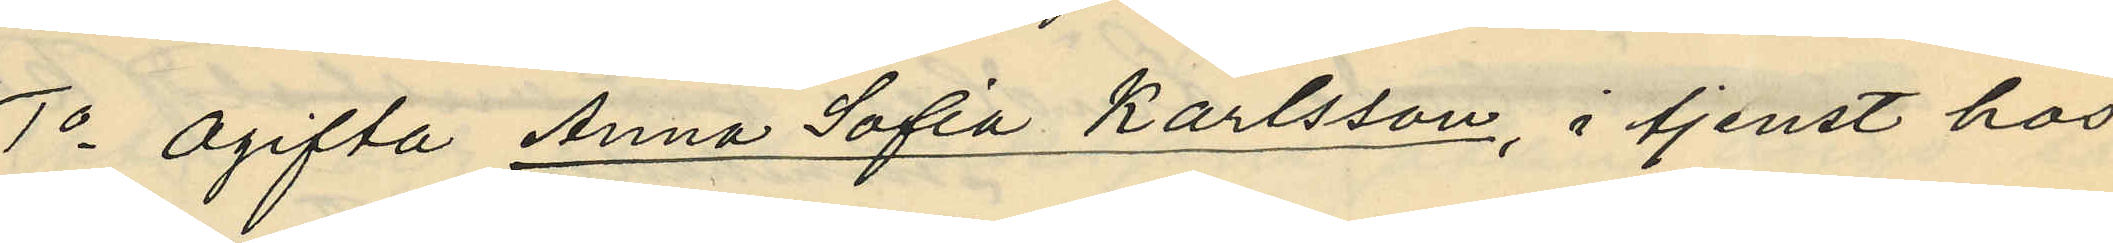1o Ogifta Anna Sofia Karlsson, i tjenst hos
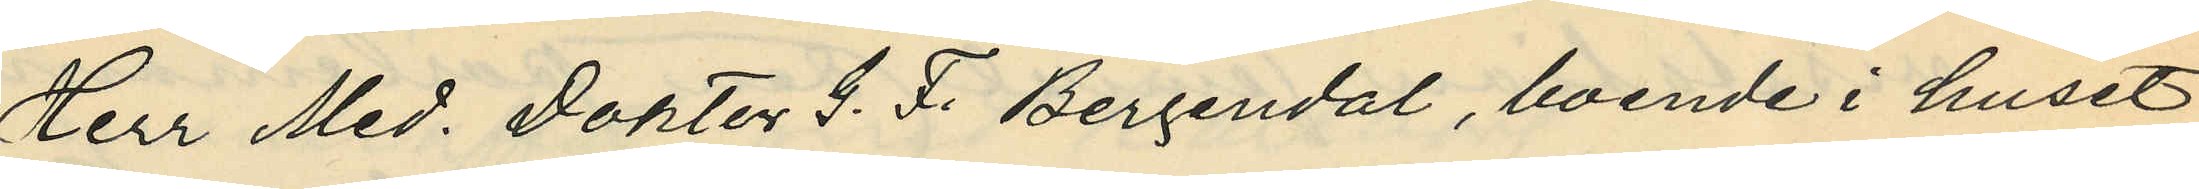Herr Med. Doktor G. F. Bergendal, boende i huset
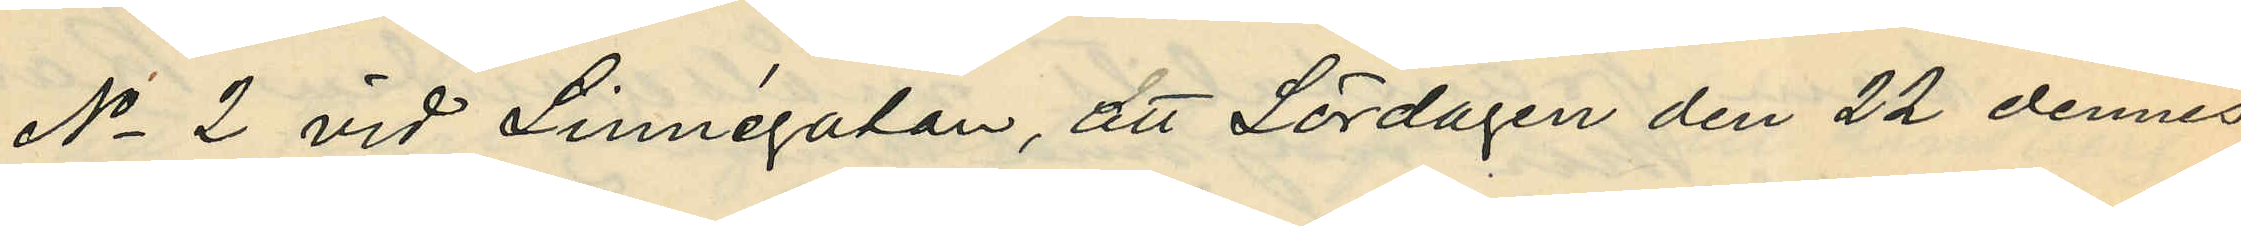No 2 vid Linnégatan, att Lördagen den 22 dennes
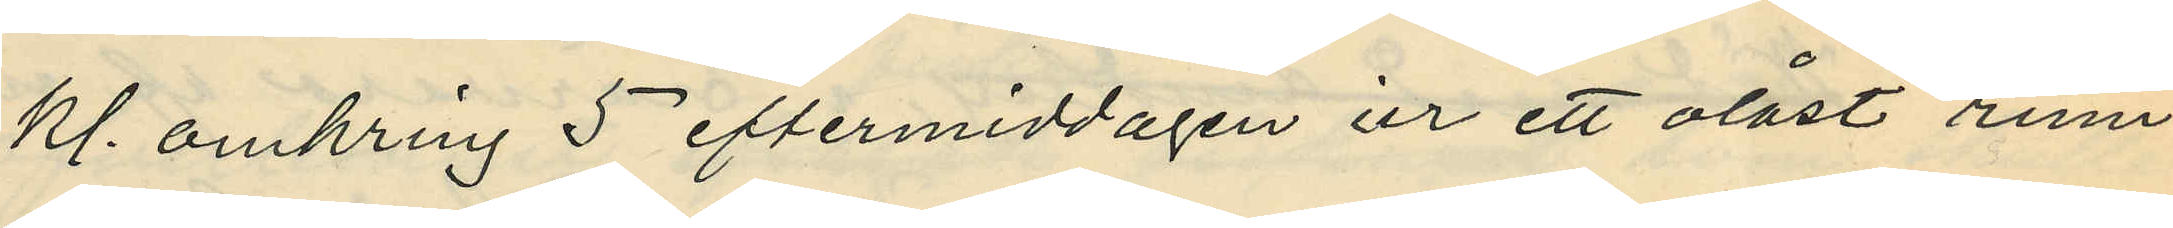kl. omkring 5 eftermiddagen ur ett olåst rum
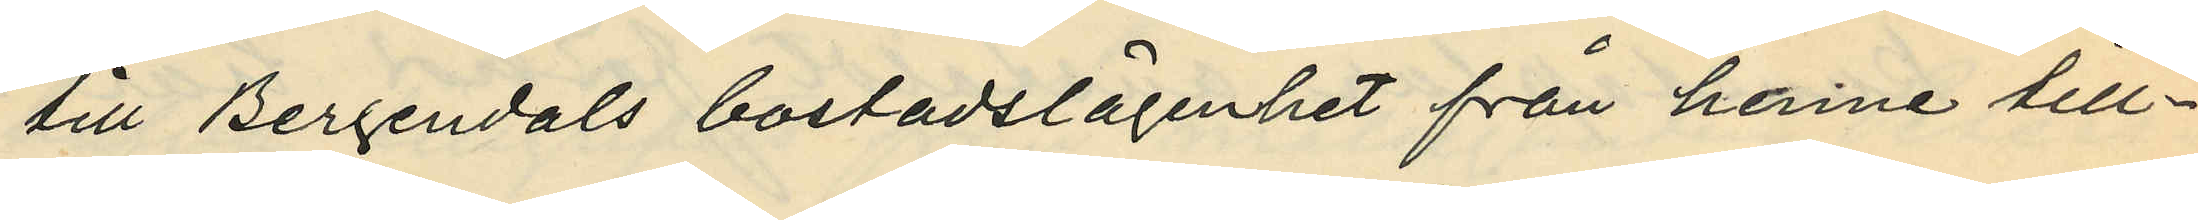till Bergendals bostadslägenhet från henne till¬
